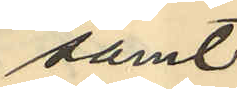samt
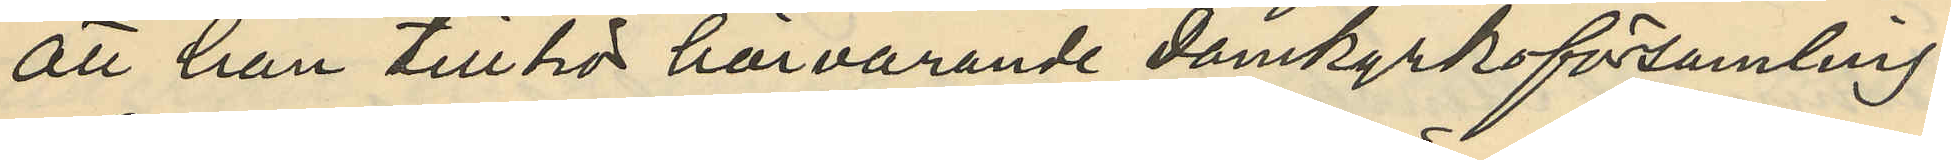att han tillhör härvarande domkyrkoförsamling.
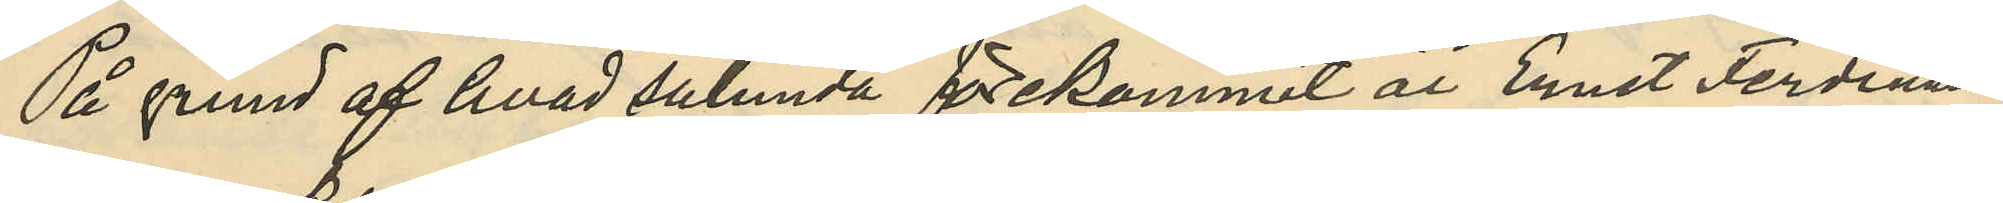På grund af hvad sålunda förekommit är Ernst Ferdinand
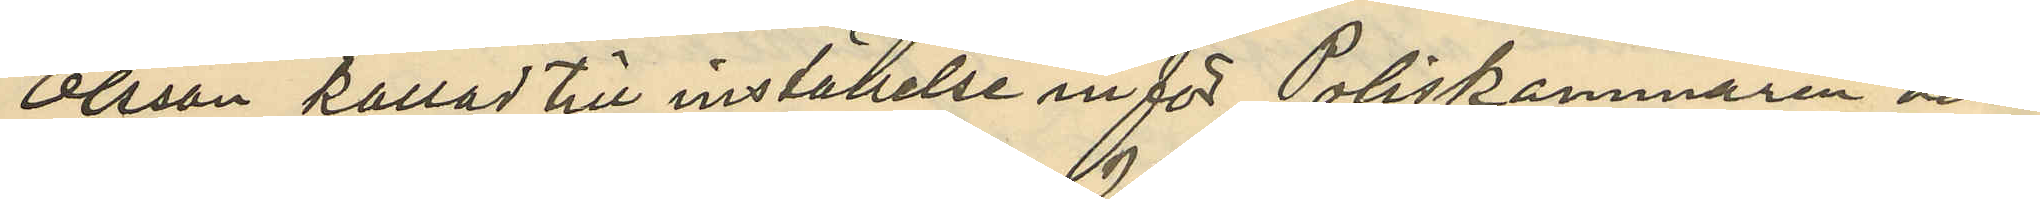Olsson kallad till inställelse inför Poliskammaren den
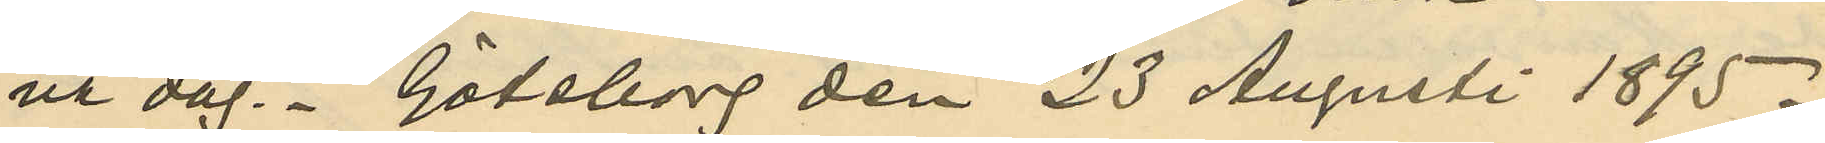na dag. Göteborg den 23 Augusti 1895.
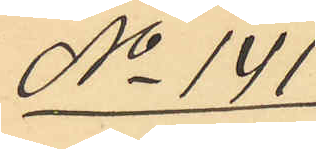No 141
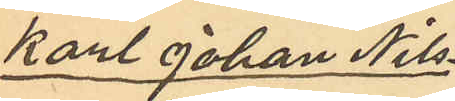Karl Johan Nils¬
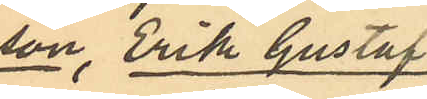son, Erik Gustaf
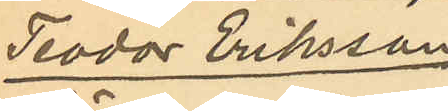Teodor Eriksson
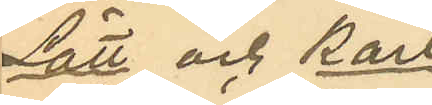Lätt och Karl
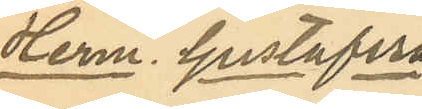Herm. Gustafson.
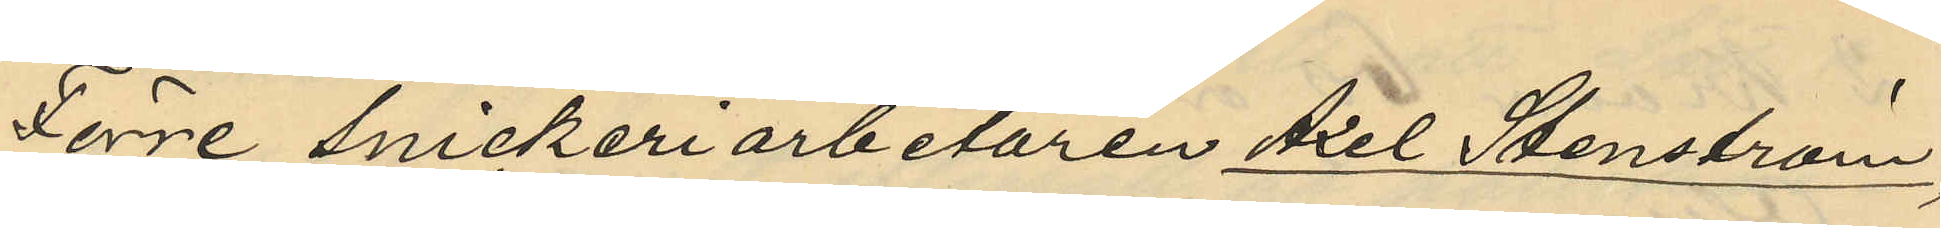Förre Snickeriarbetaren Axel Stenström,
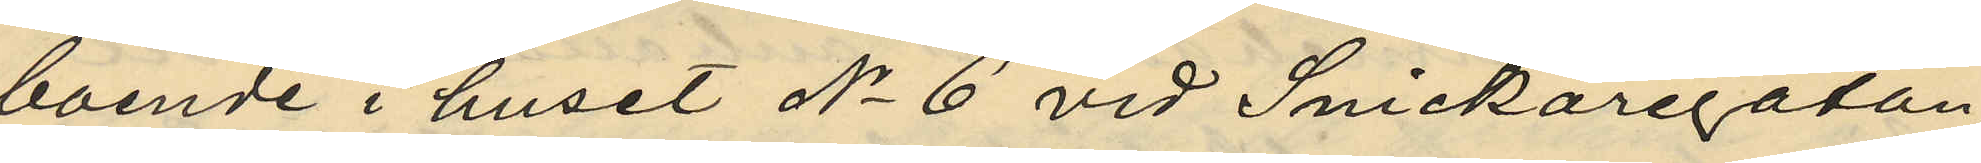boende i huset No 6 vid Snickaregatan
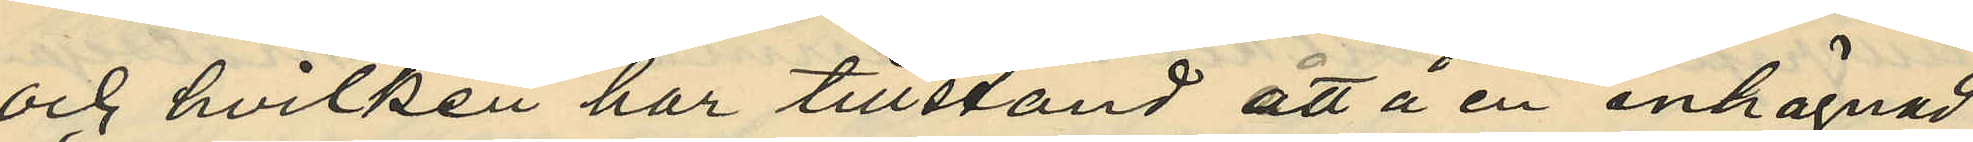och hvilken har tillstånd att å en inhägnad
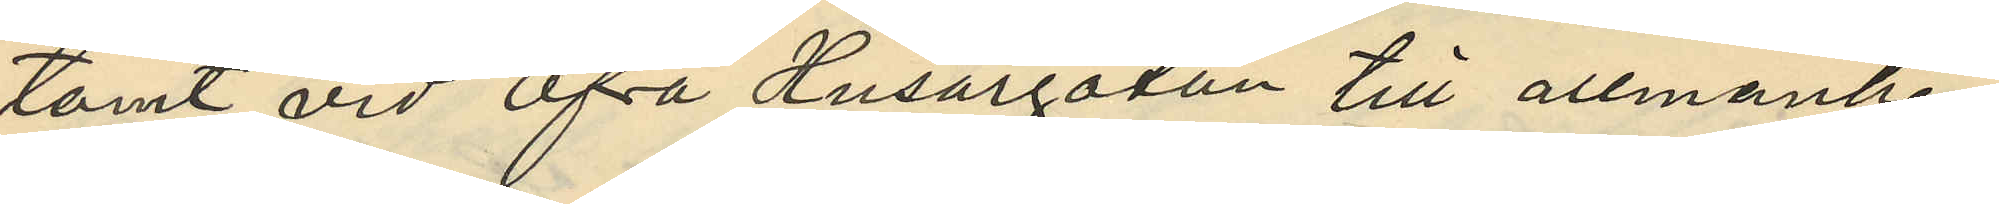tomt vid Öfra Husargatan till allmänhe¬
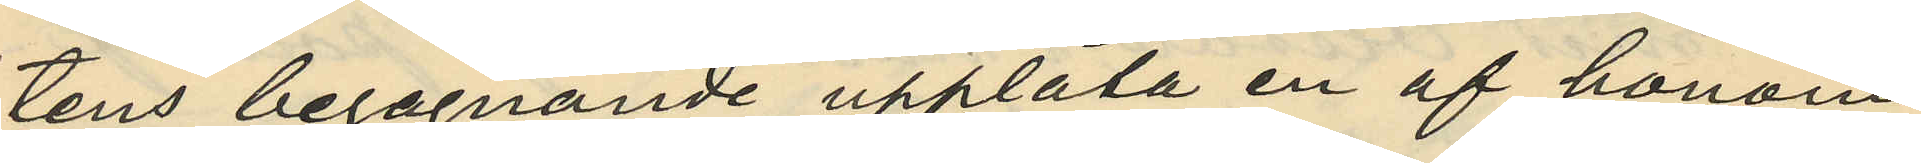tens begagnande upplåta en af honom
